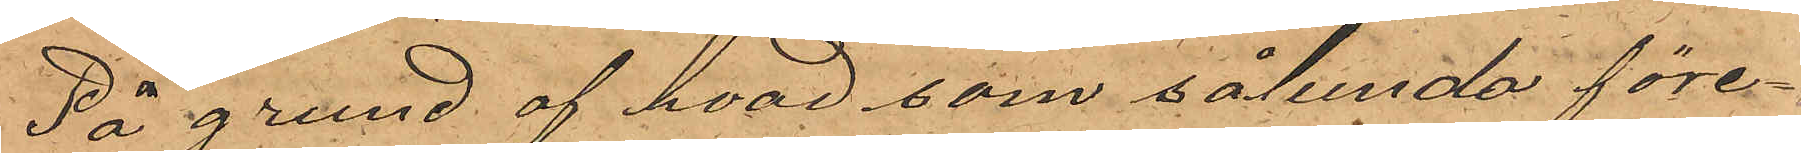På grund af hvad som sålunda före¬
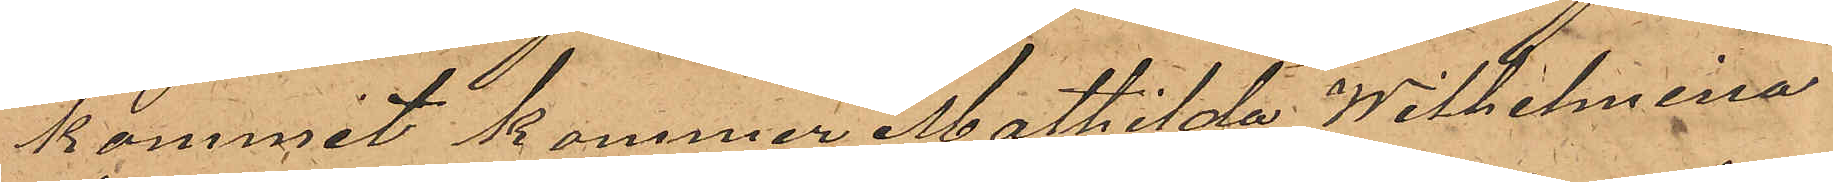kommit kommer Mathilda Wilhelmina
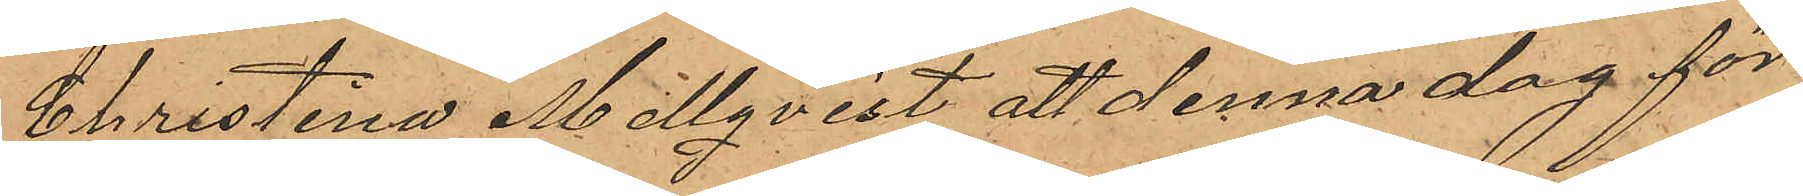Christina Mellqvist att denna dag för
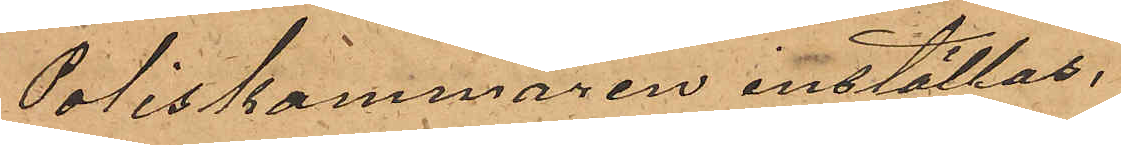Poliskammaren inställas.
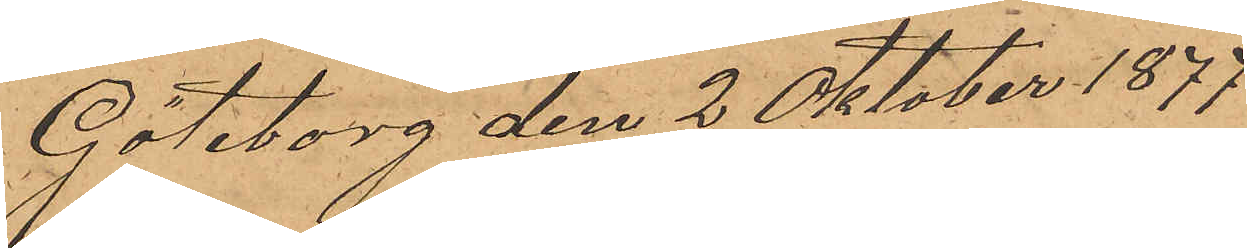Göteborg den 2 Oktober 1877
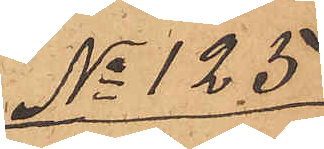No 125.
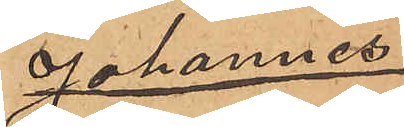Johannes
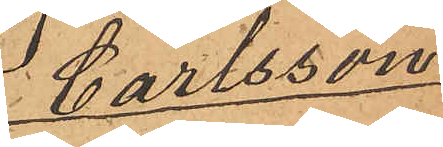Carlsson.
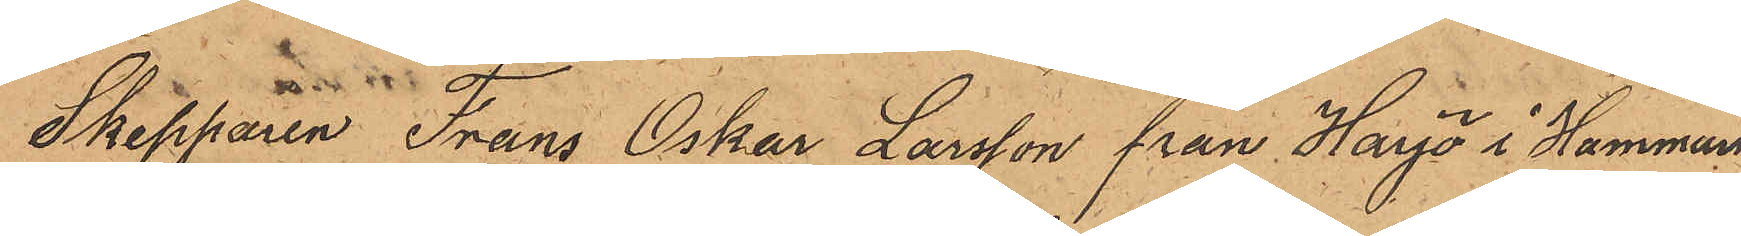Skepparen Frans Oskar Larsson från Harjö i Hammars
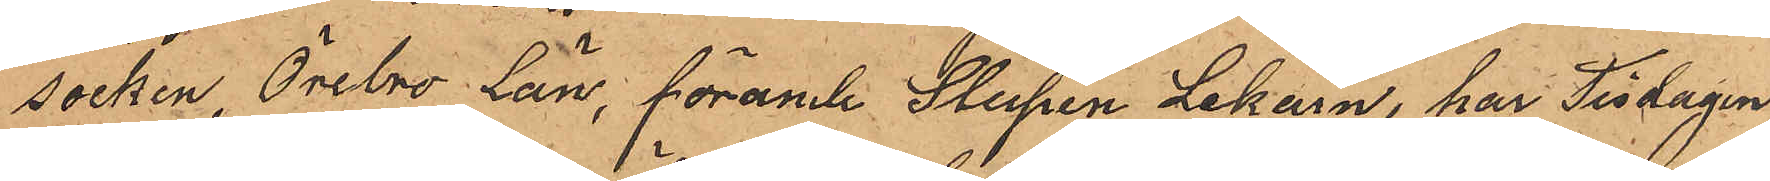Socken, Örebro län, förande Slupen Lekarn, har Tisdagen
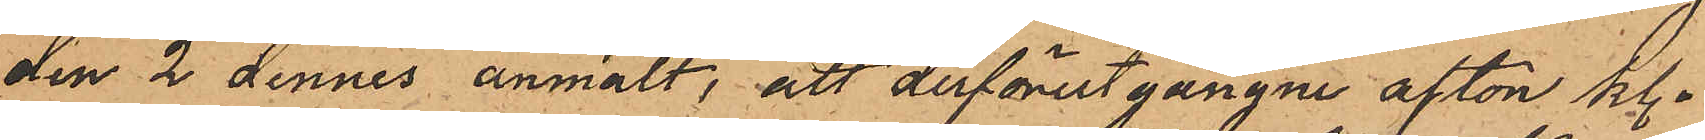den 2 dennes anmält, att derförutgångne afton kl.
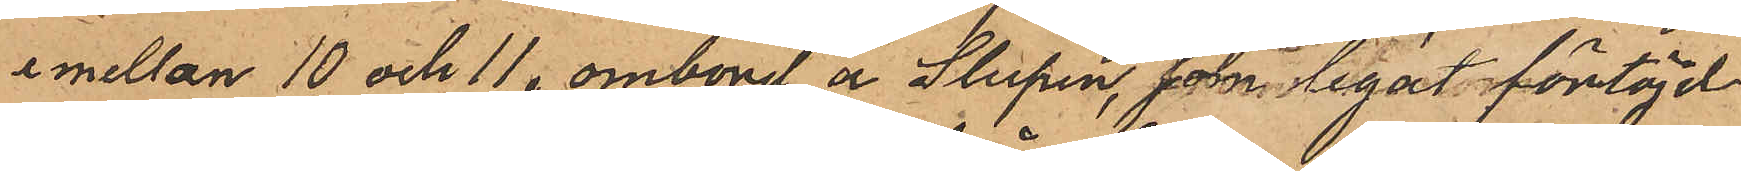emellan 10 och 11, ombord å Slupen, som legat förtöjd
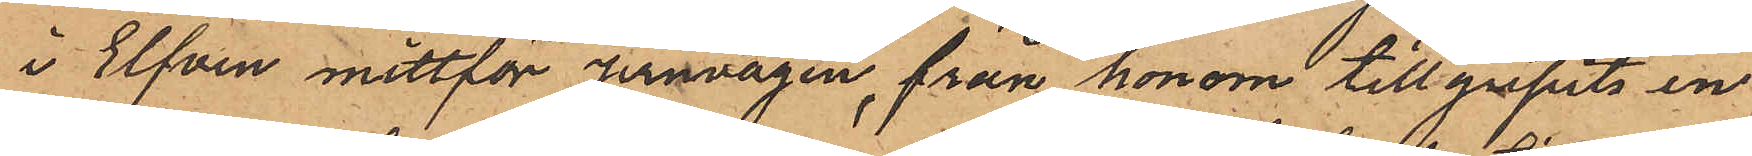i Elfven mittför Jernvågen, från honom tillgripits en
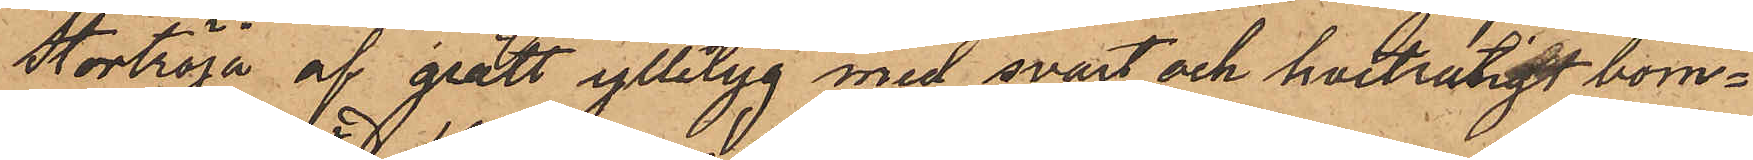stortröja af grått ylletyg med svart och hvitrutigt bom¬
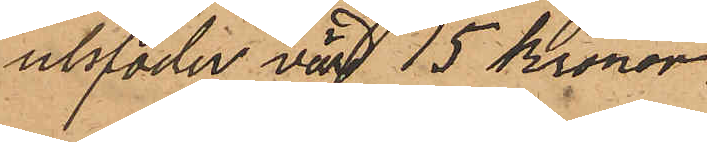ullsfoder värd 15 Kronor,
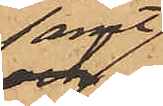samt
